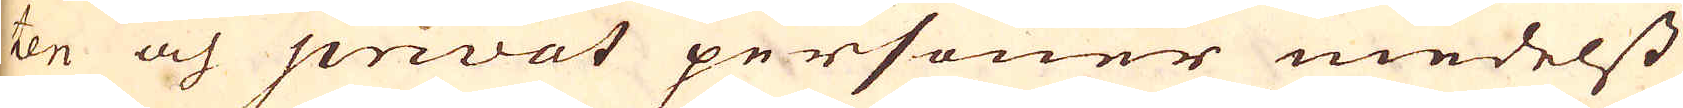ten och privat personer medelst
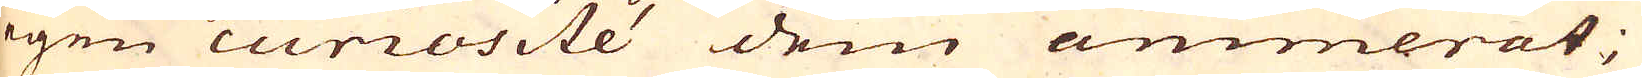egen curiosité dem animerat;
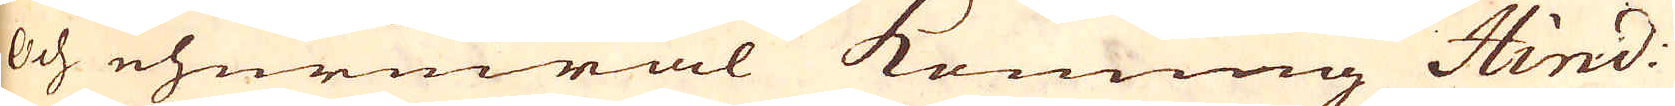Och ehuruwäl Konung Hind.
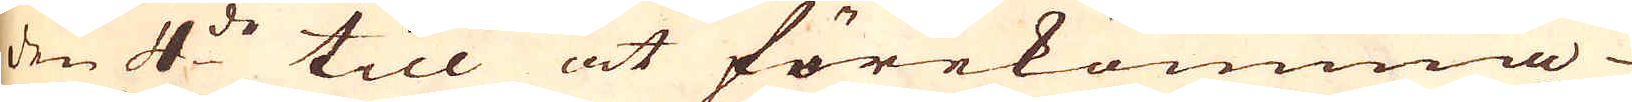den 4:de till at förekomma
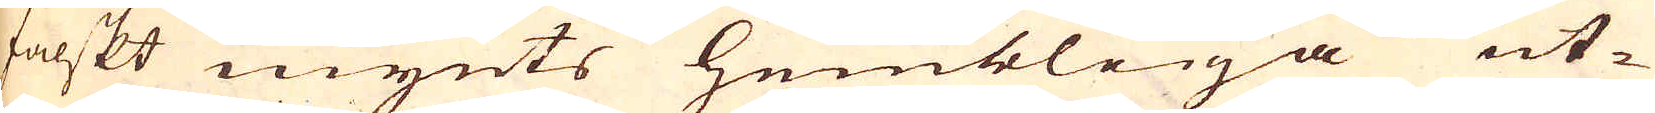falskt mynts hembliga ut-
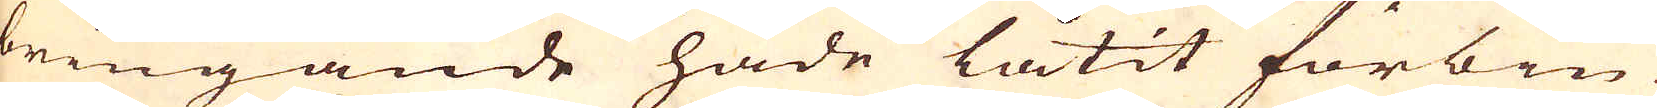bringande hade låtit förbiu-
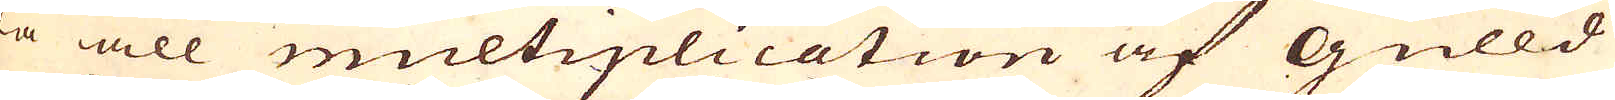da all multiplication af Gulld
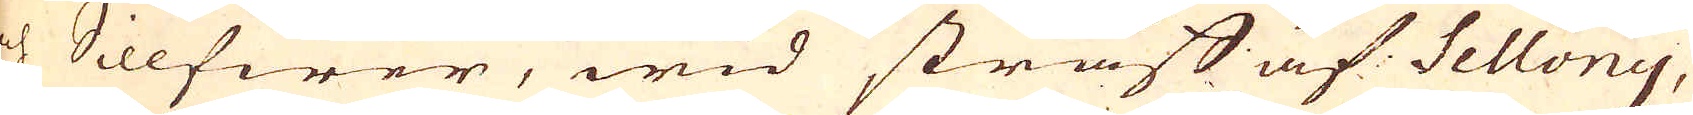och Sillfwer, wid straff af Fellony,
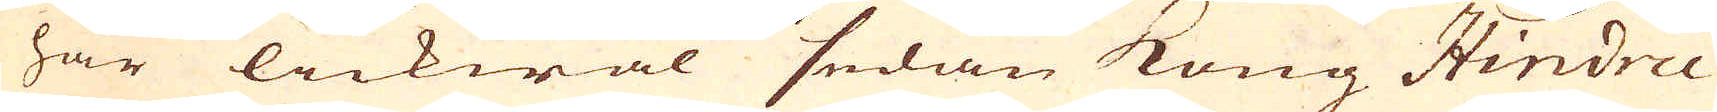har lickwäl sedan Kong Hindric
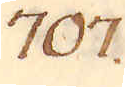707.
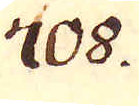708.
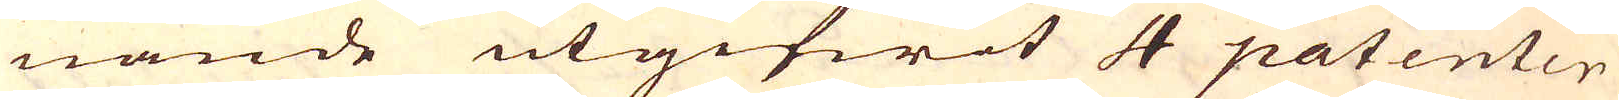nande utgifwit 4 patenter
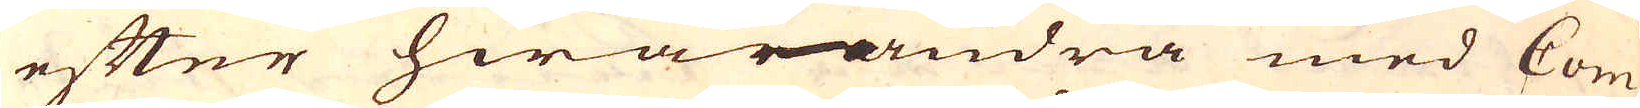efter hwarandra med Com-
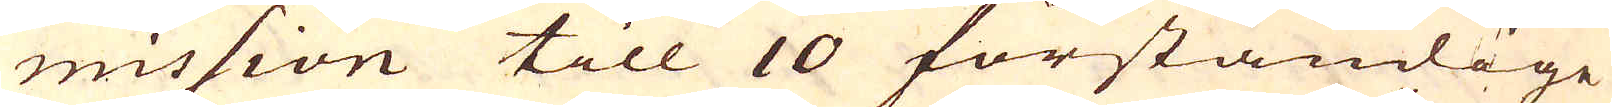mission till 10 förståndige
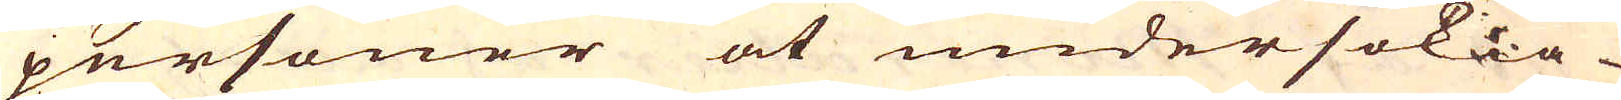personer at undersökia
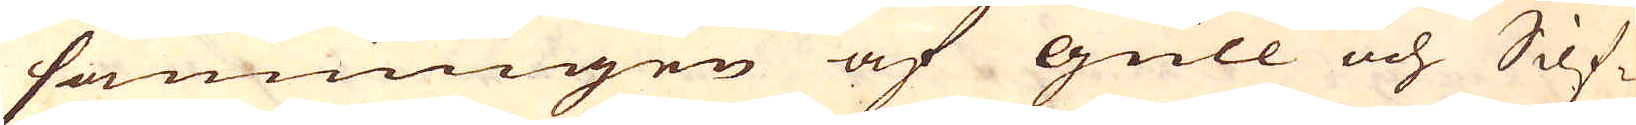sanningen af gull och Silf-
